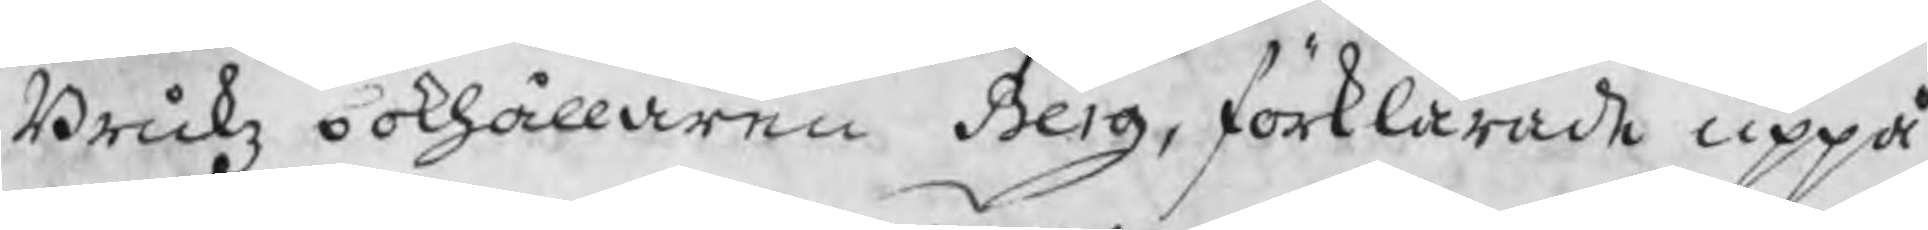Brukz bokhållaren Berg, förklarade uppå
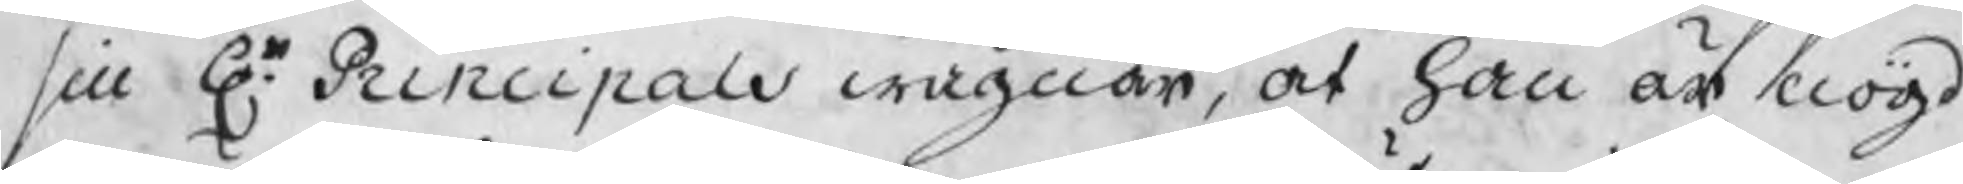sin Hr Principals wägnar, at han är nögd
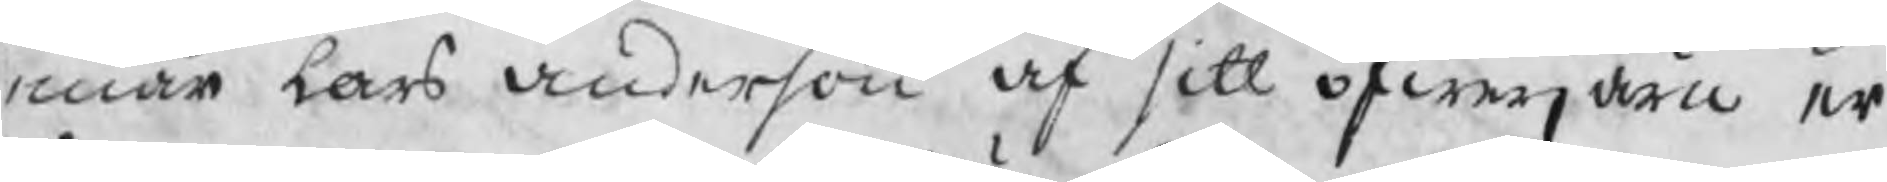enär Lars Anderson af sitt öfwerjärn er
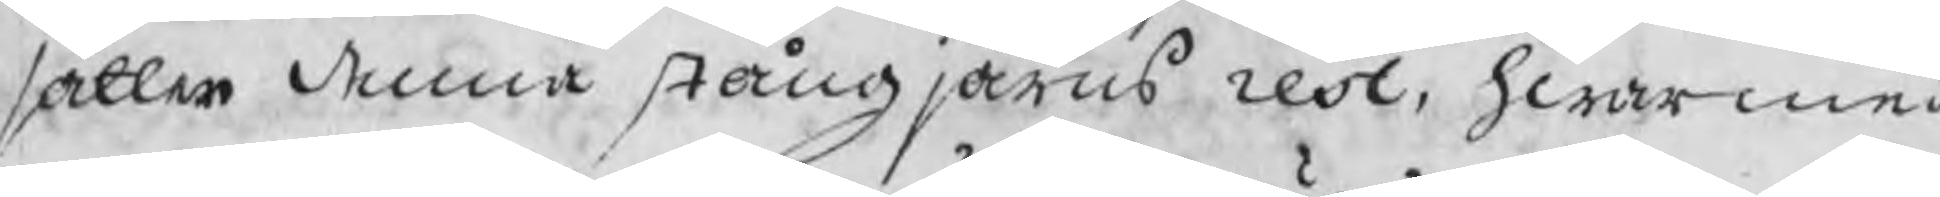sätter denna stångjärns rest, hwarmed
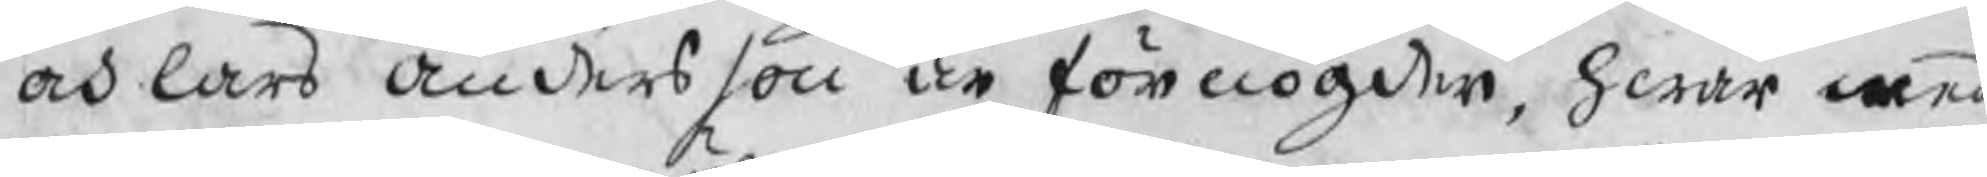och Lars Andersson är förnögder, hwar med
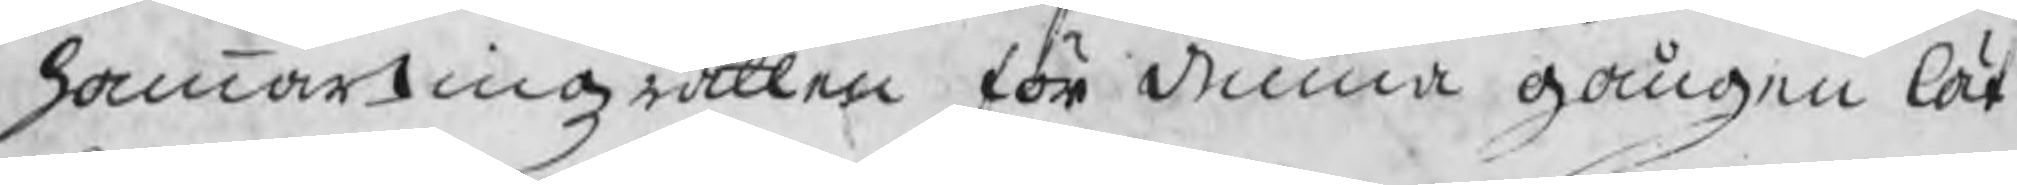hammartingzrätten för denna gången lät
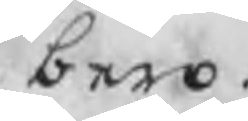bero.
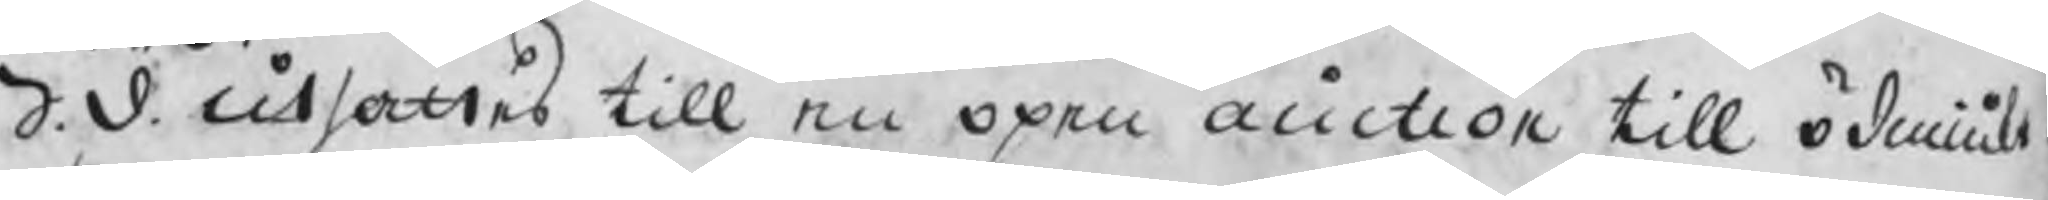S.d. utsattes till en öpen auction till ödmiuk
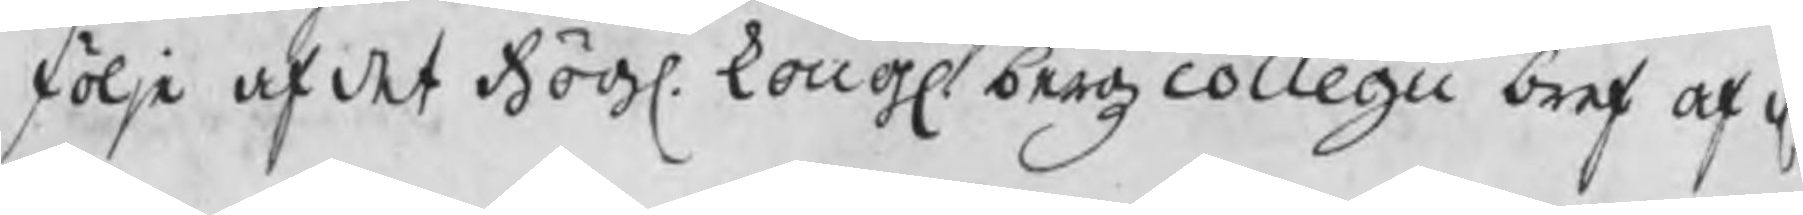följe af det Högl. kongl. bergzcollegii bref af d.
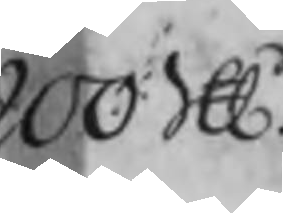200 SU
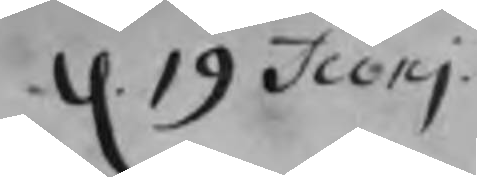d. 19 Junj
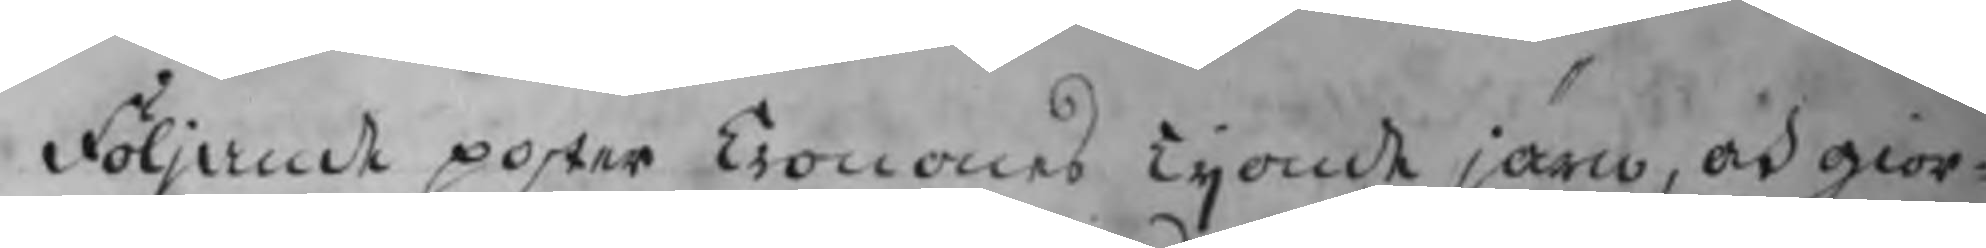följande poster Cronones Tijonde järn, och giör
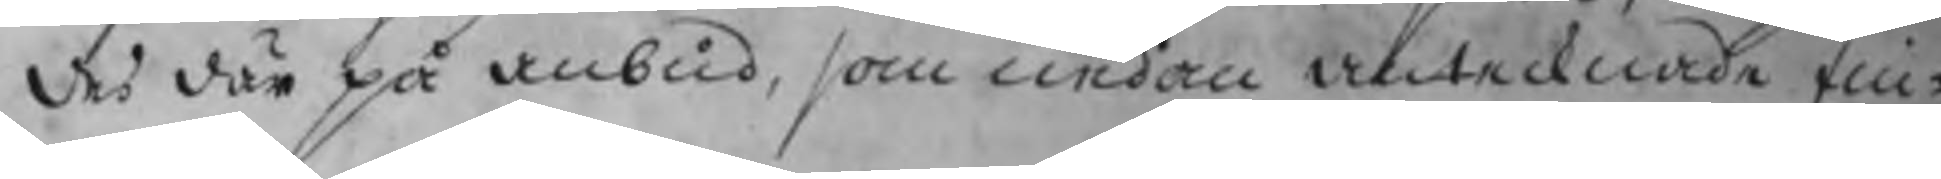des där på anbud, som nedan antecknade fin¬
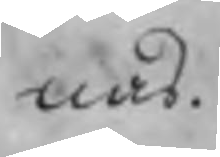nas.
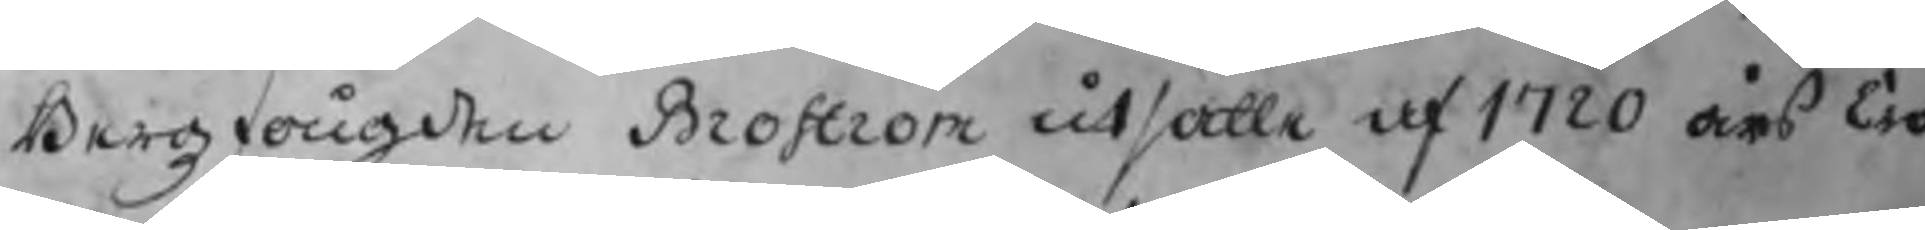Bergzfougden Broström utsatte af 1720 års Cro
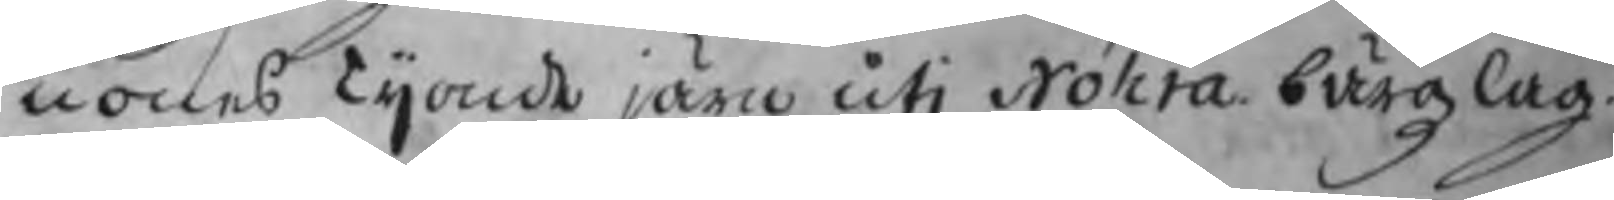nones Tijonde järn uti Nohra bärgzlag,
